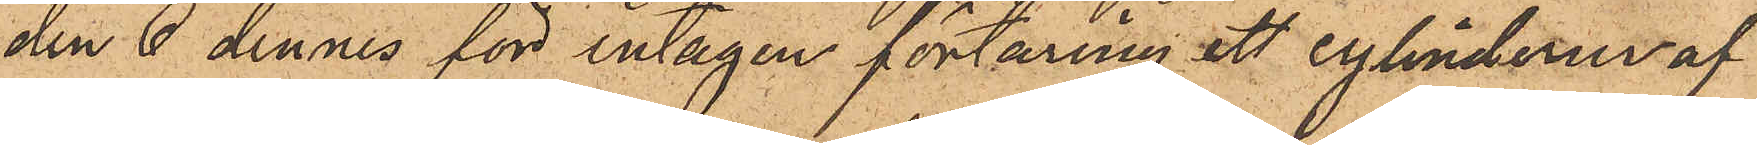den 6 dennes för intagen förtäring ett cylinderur af
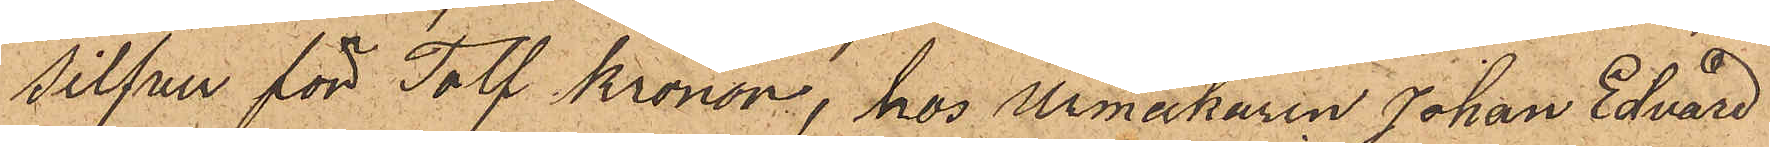silfver för Tolf Kronor, hos Urmakaren Johan Edvard
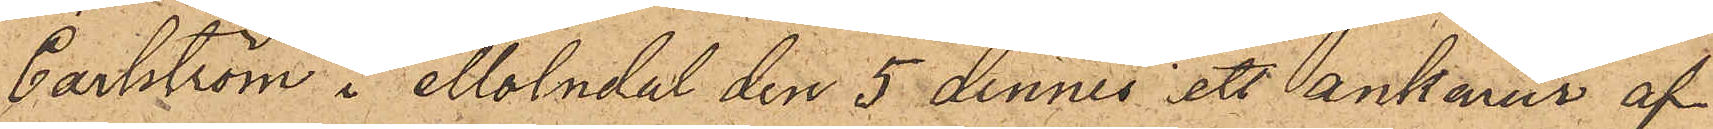Carlström i Mölndal den 5 dennes i ett ankarur af
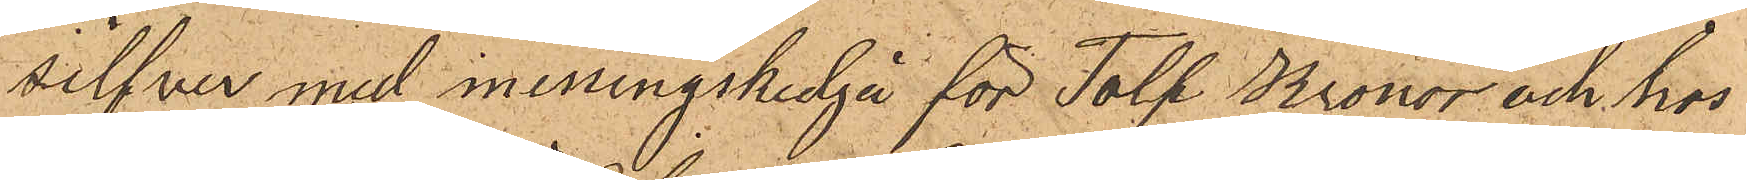silfver med messingskedja för Tolf Kronor och hos
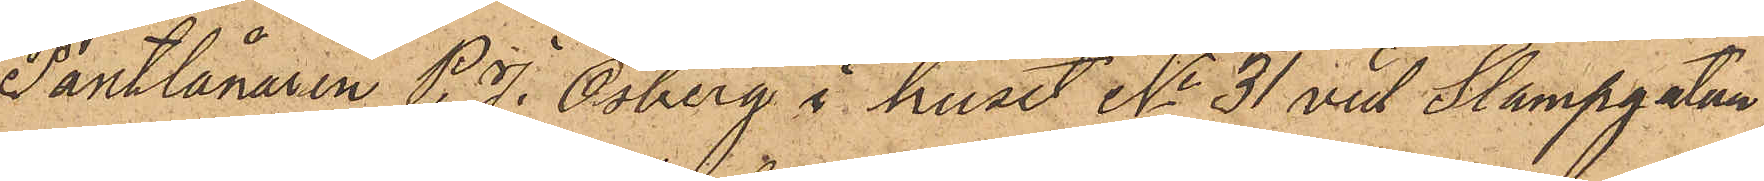Pantlånaren P. J. Osberg i huset No 31 vid Stampgatan
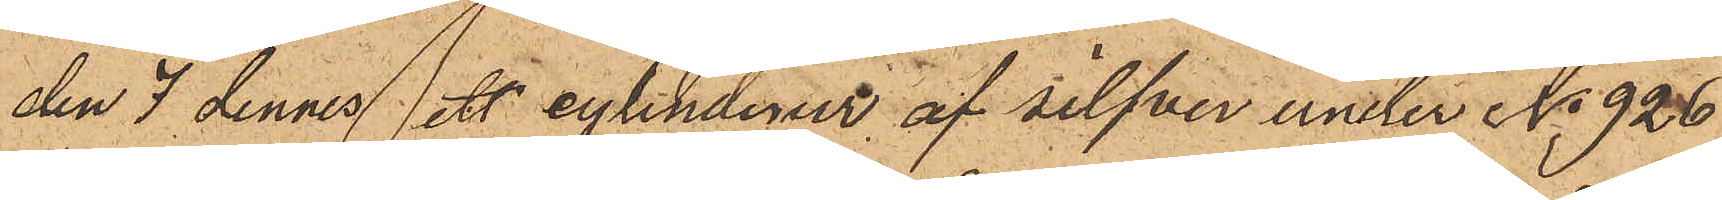den 7 dennes ett cylinderur af silfver under No 926
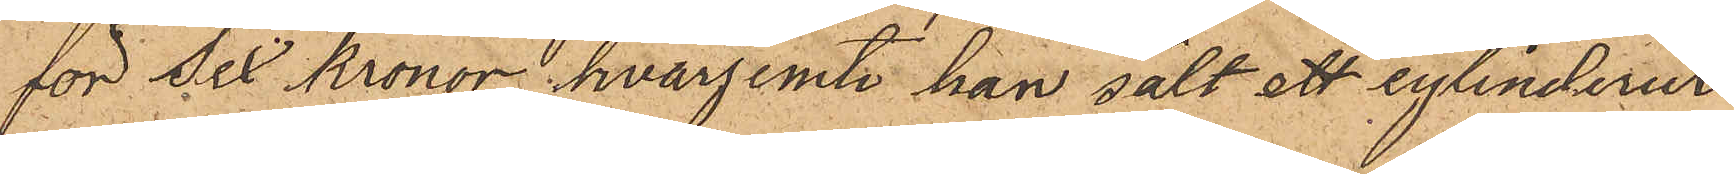för Sex Kronor, hvarjemte han sålt ett cylinderur
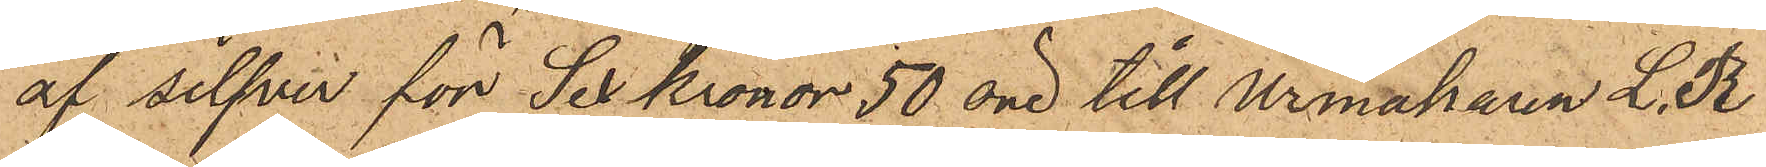af silfver för Sex Kronor 50 öre till Urmakaren L. R
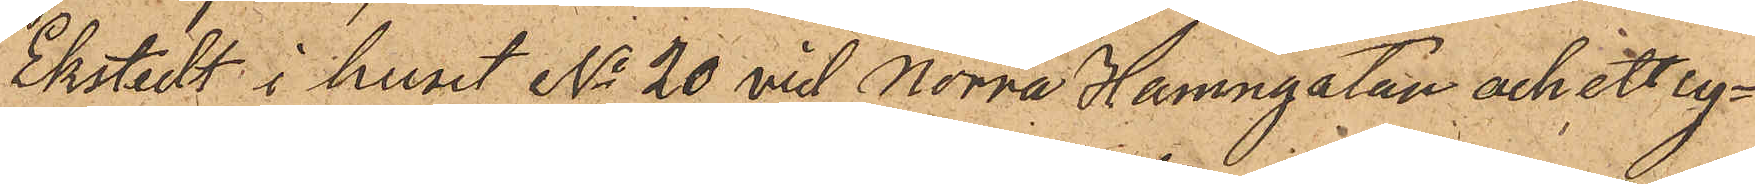Ekstedt i huset No 20 vid Norra Hamngatan och ett cy¬
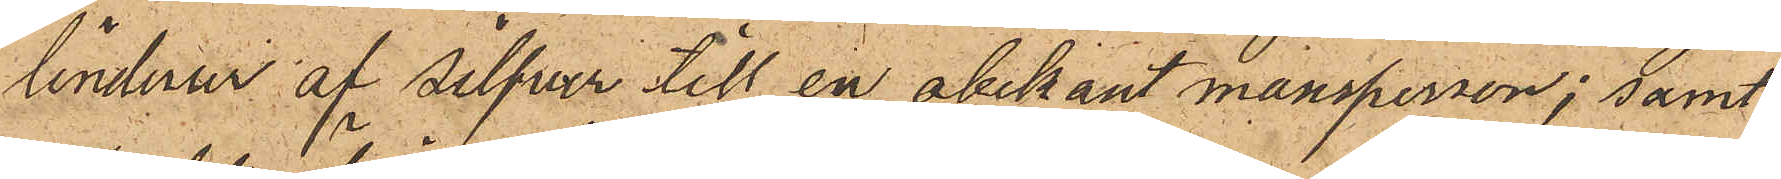linderur af Silfver till en obekant mansperson; samt
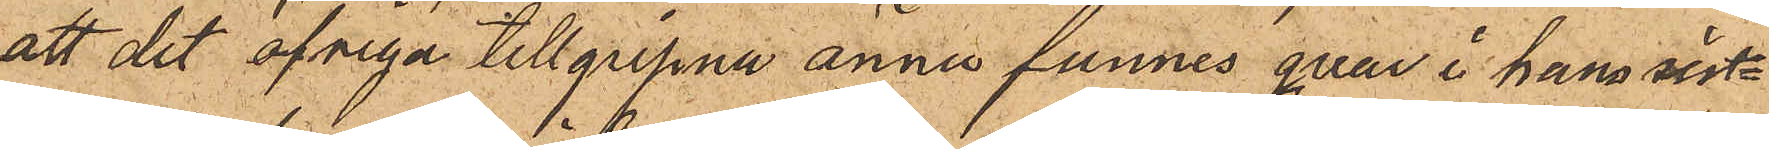att det öfriga tillgripne ännu funnes qvar i hans sist¬
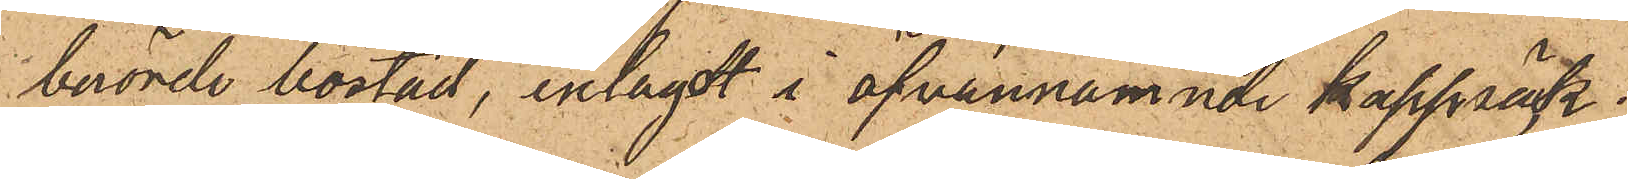berörde bostad, inlagdt i ofvannamnde kappsäck.
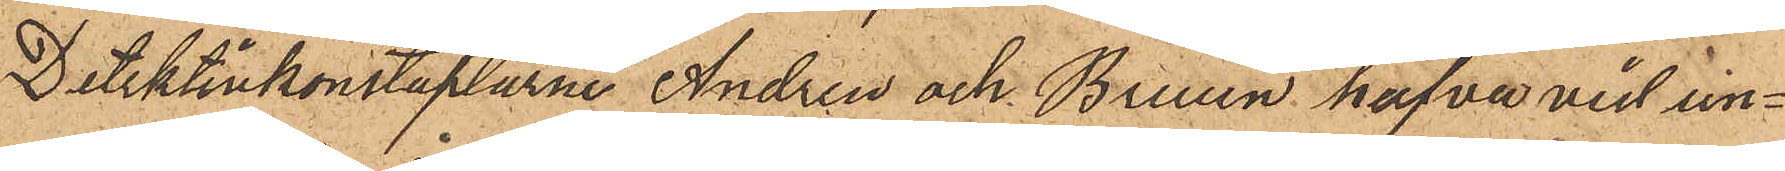Detektivkonstaplarne Andren och Bruun hafva vid un¬
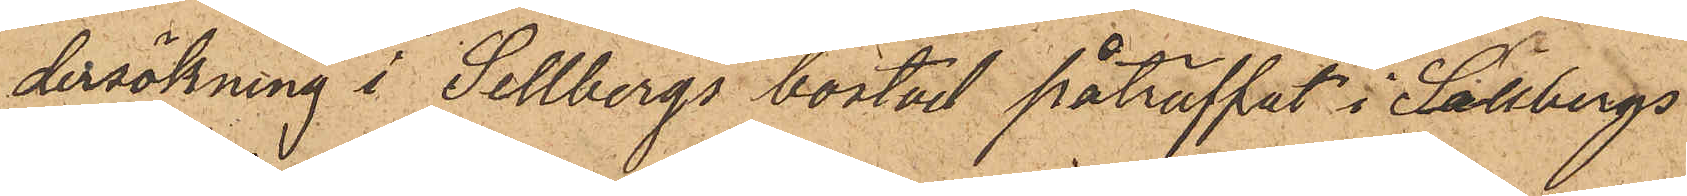dersökning i Sellbergs bostad påträffat i Sellbergs
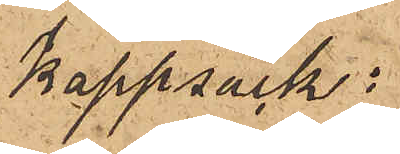kappsäck:
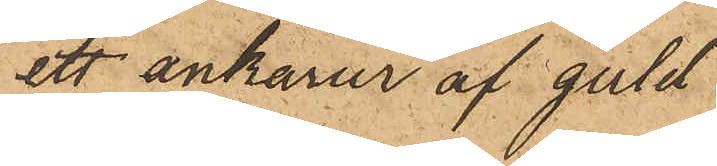ett ankarur af guld
